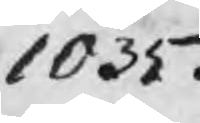1035.
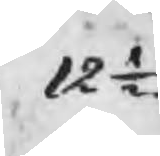12 ½
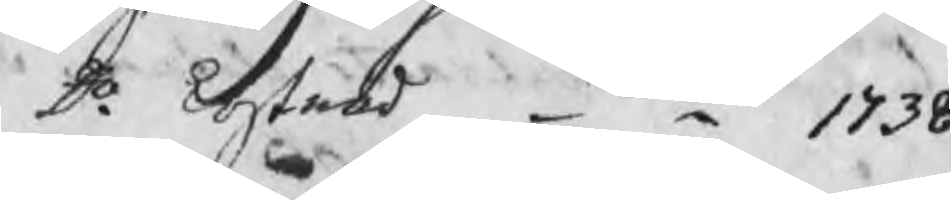Do kostnad   1738
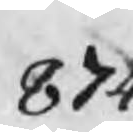874
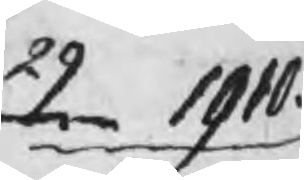29   1910.
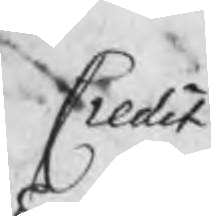Credit
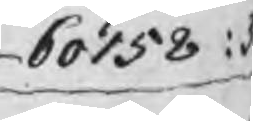60158 :
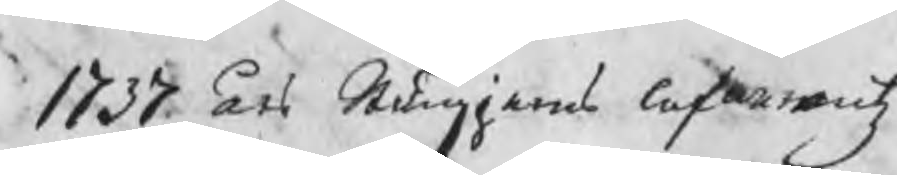1737 års Stångjerns lefwerantz
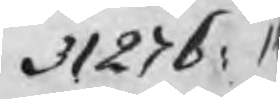31276: 1
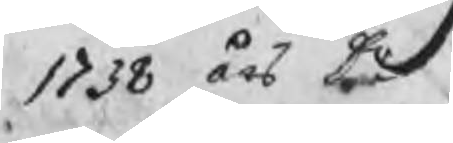1738 års Do
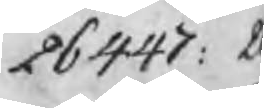26447: 2
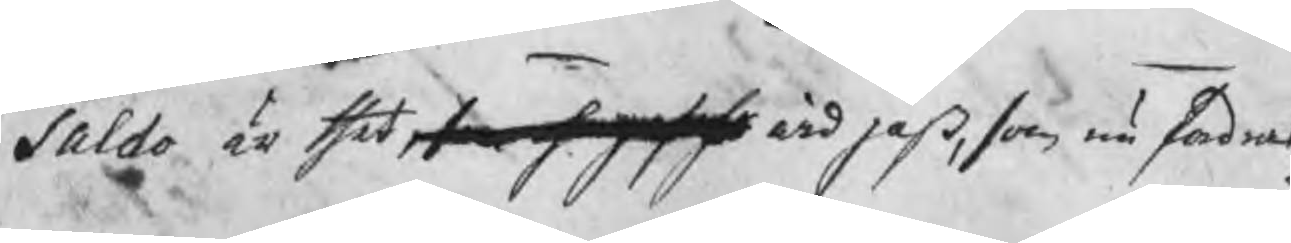Saldo är thet, som sege wid paß, som nu sades
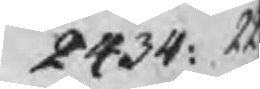2434: 22
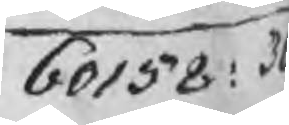60158: 30
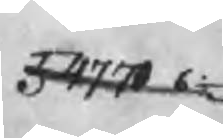54770 6½
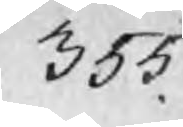355.
